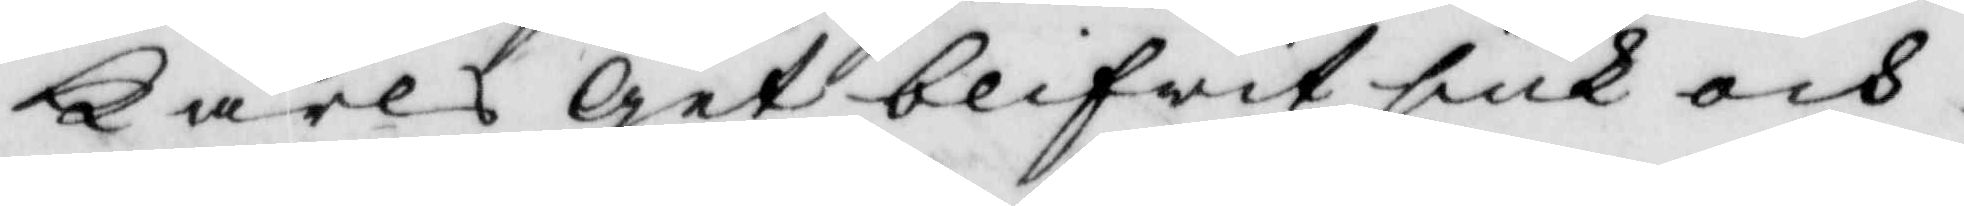Carls get blifwit siuk och
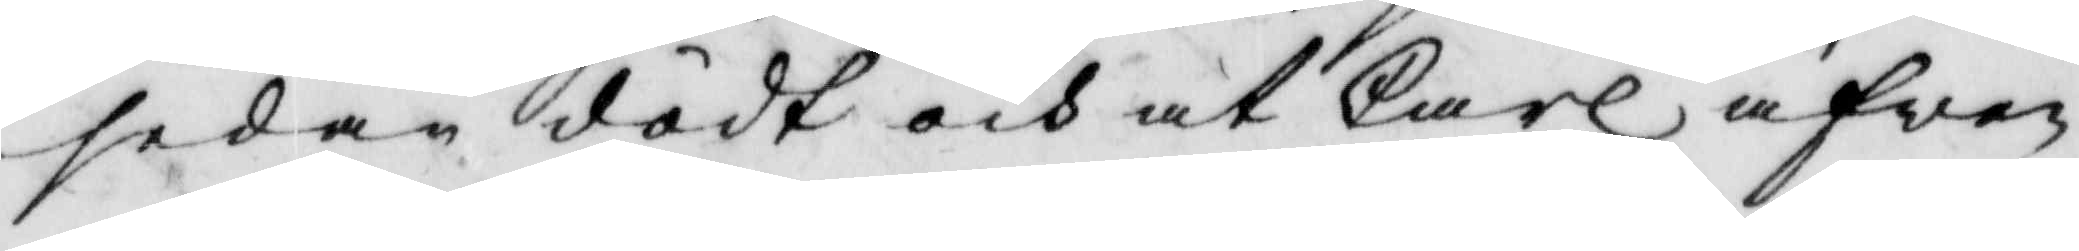sedan dödt och at Carl äfwen
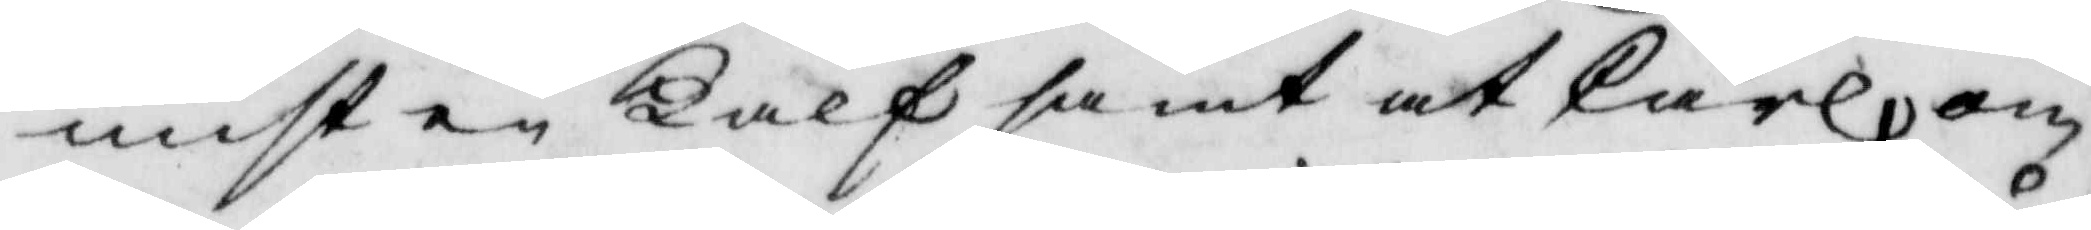mist en kalf samt at Carl, om
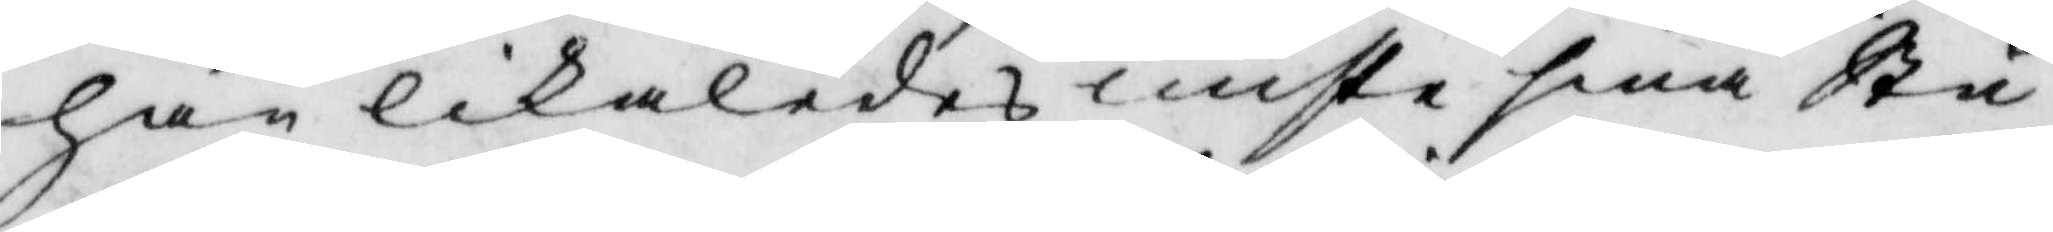han likaledes miste sina Stu¬
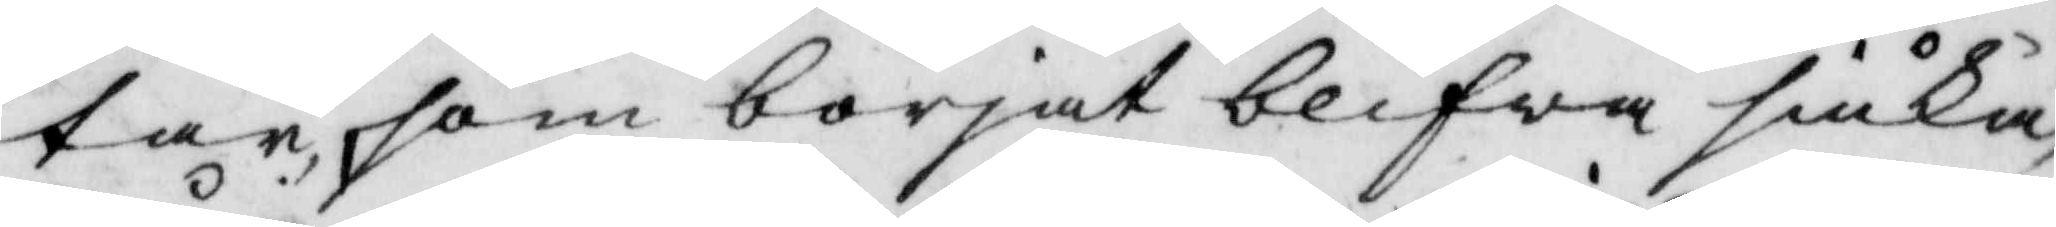tar som börjat blifwa siuka,
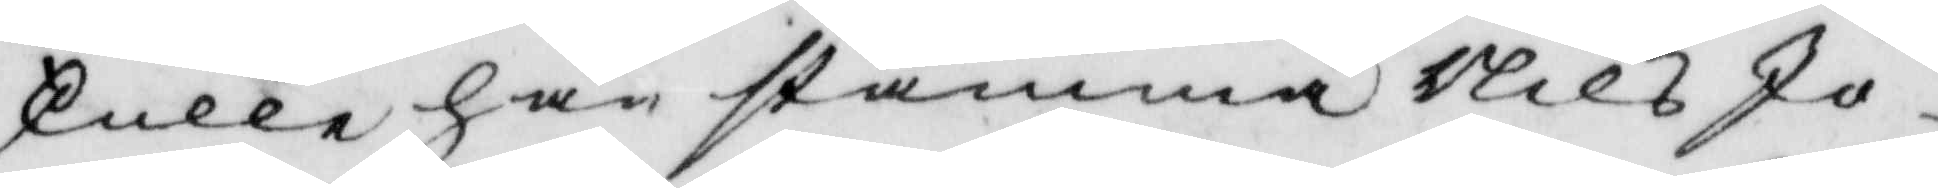skulle han stämma Nils Jo¬
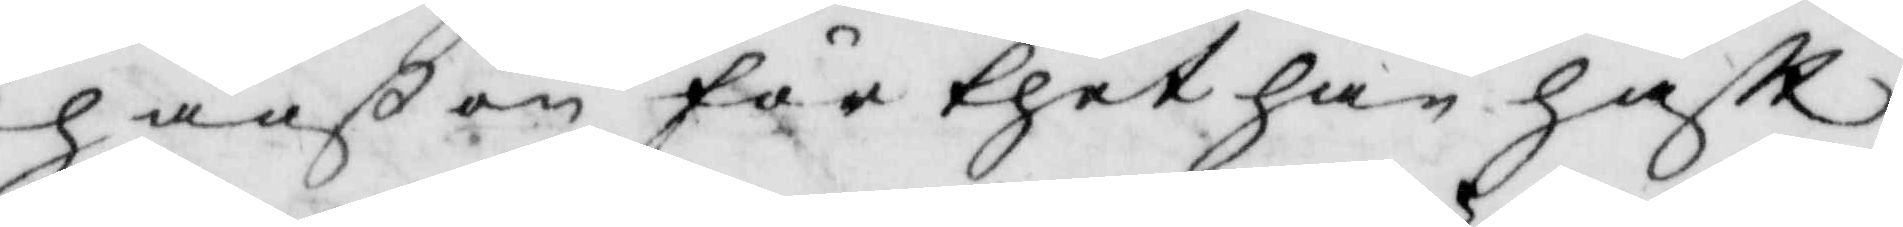hanßon för thet han haftt
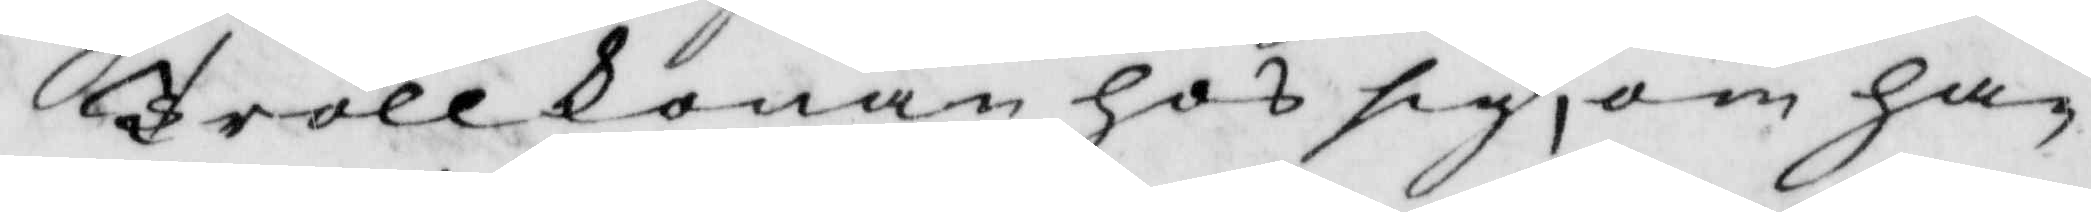Trollkonan hos sig, om han
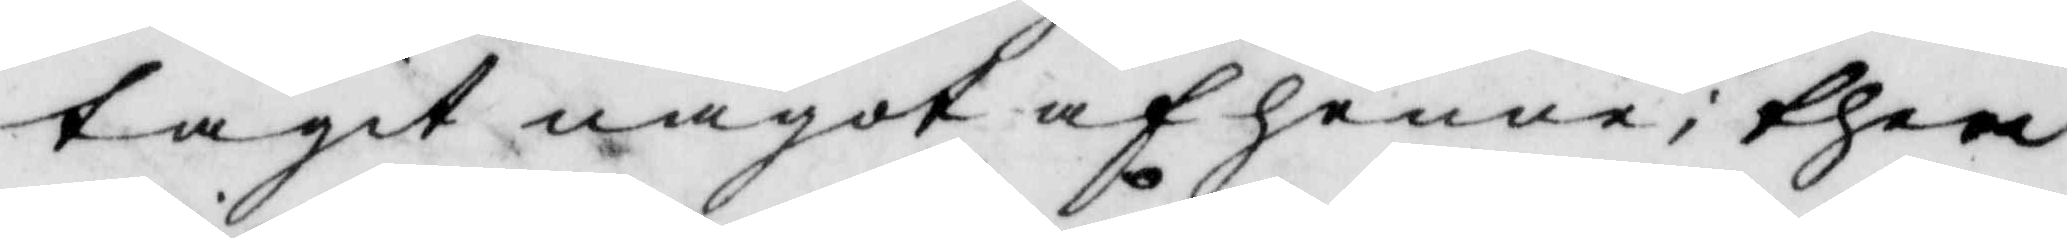tagit något af henne, them
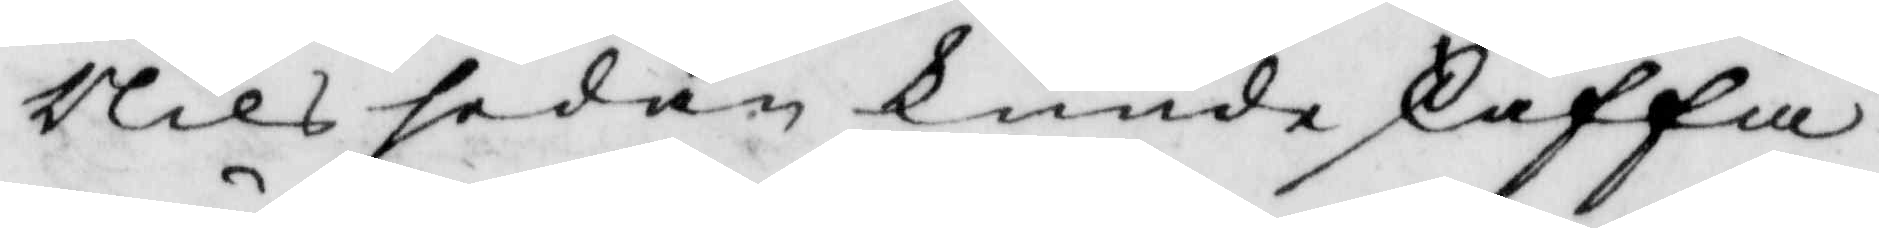Nils sedan kunde skaffa
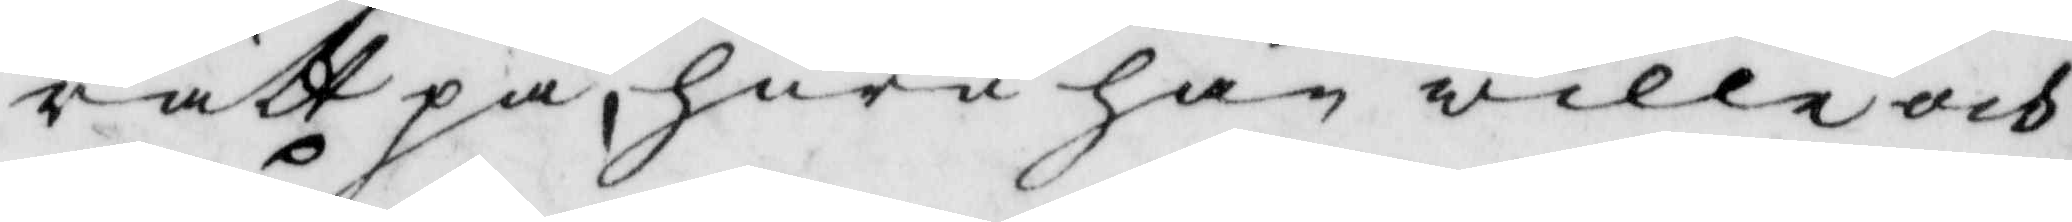rätt på, huru han wille och 
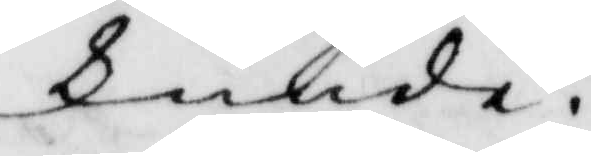kunde.
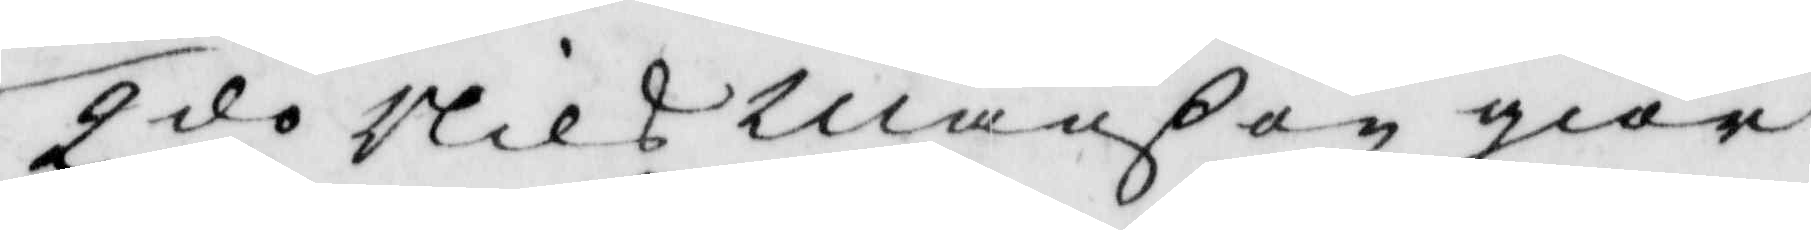2.do Nils Månßon giör
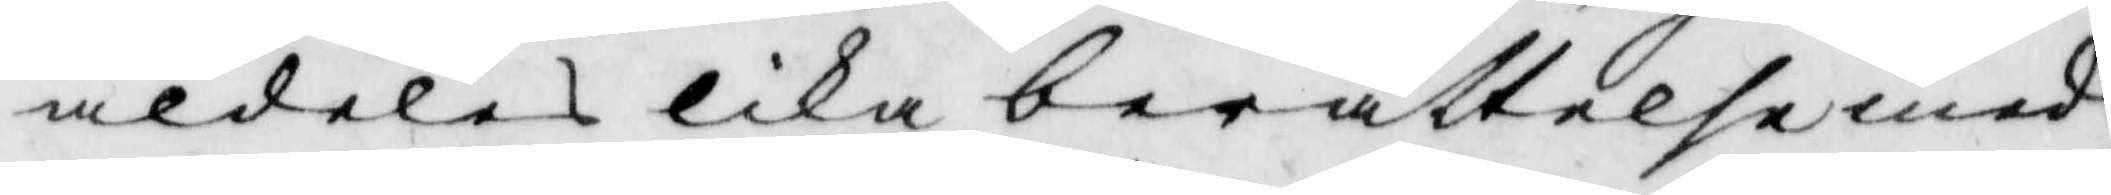aldeles lika berättelse med
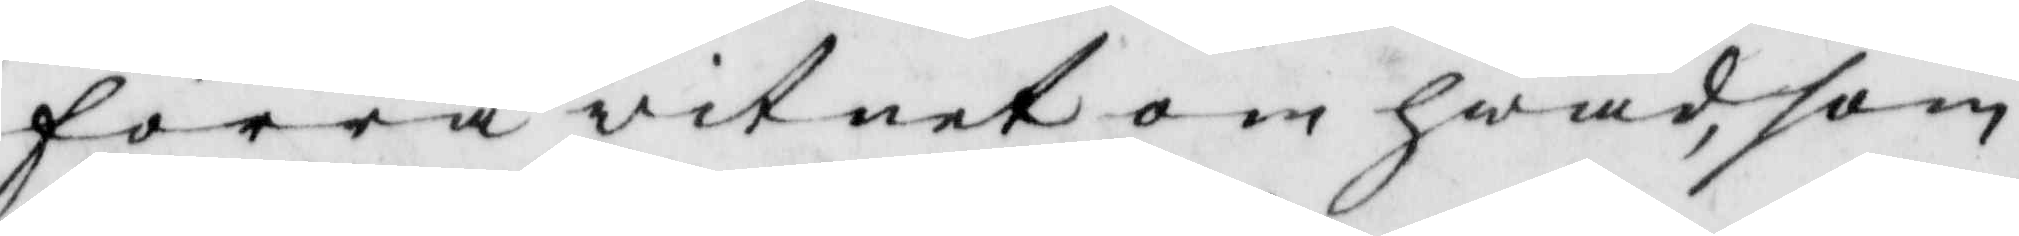förra witnet om hwad, som
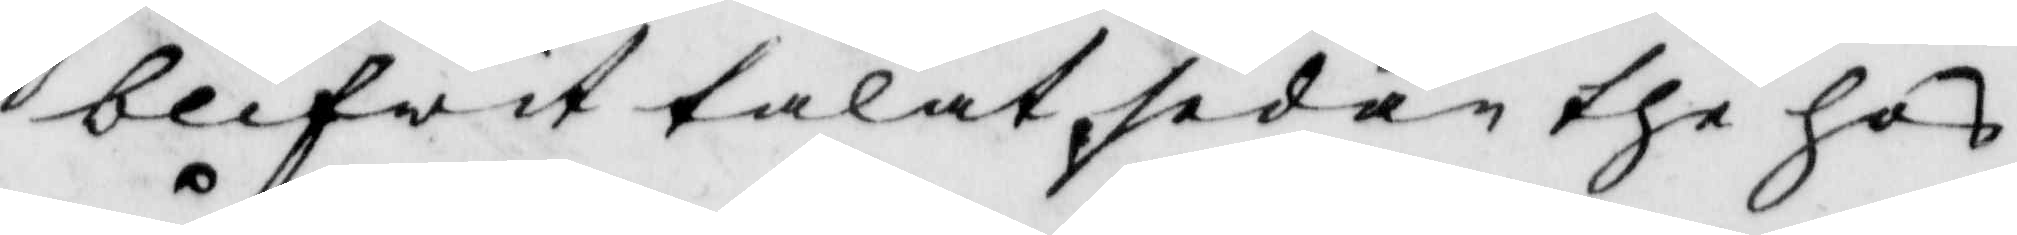blifwit talat, sedan the hos
